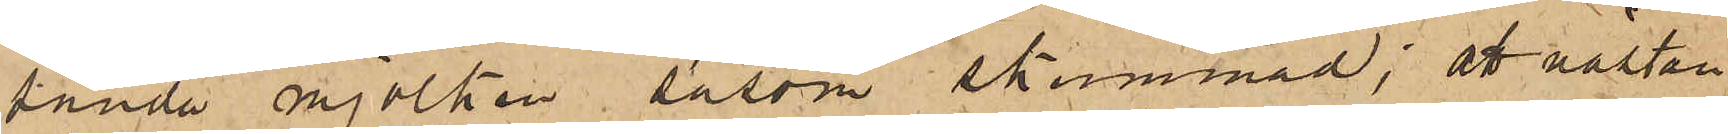sända mjölken såsom skummad; att nästan
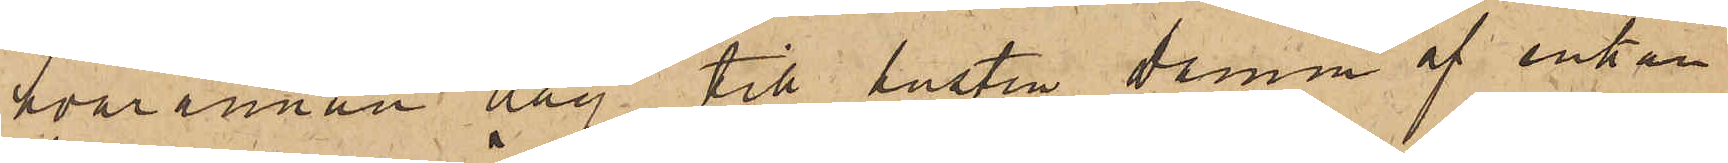hvarannan dag till hustru Damm af enkan
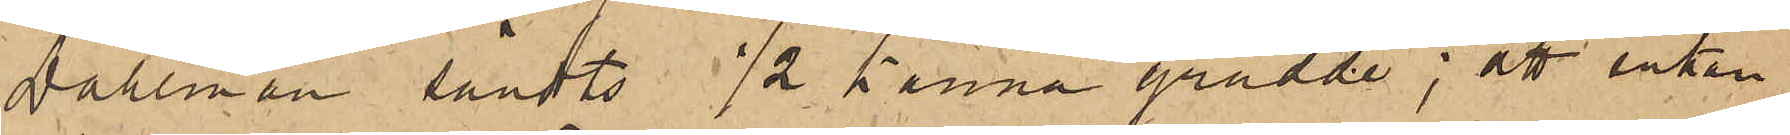Dahlman sändts 1/2 kanna grädde; att enkan
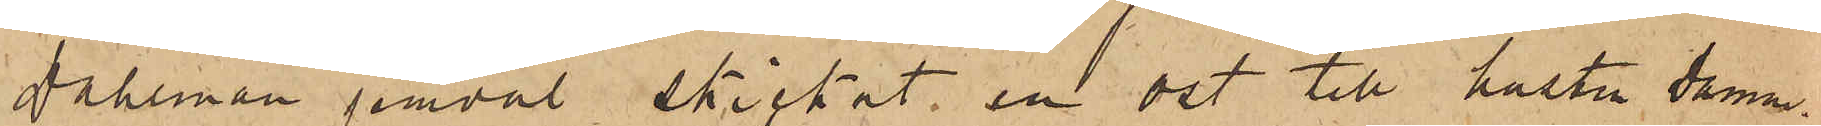Dahlman jemväl skickat en ost till hustru Damm;
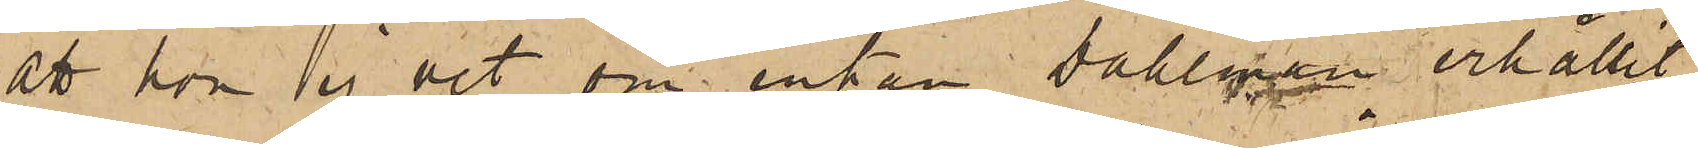att hon ej vet om enkan Dahlman erhållit
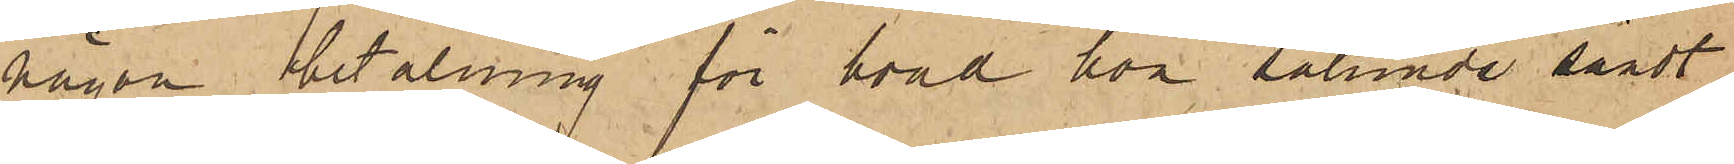någon betalning för hvad hon sålunda sändt
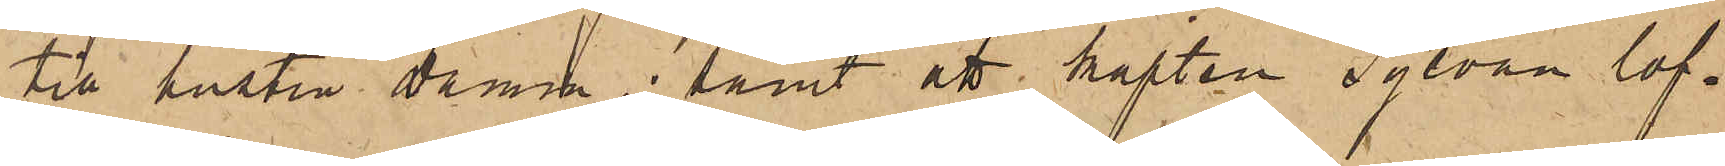till hustru Damm; samt att kapten Sylvan lof¬
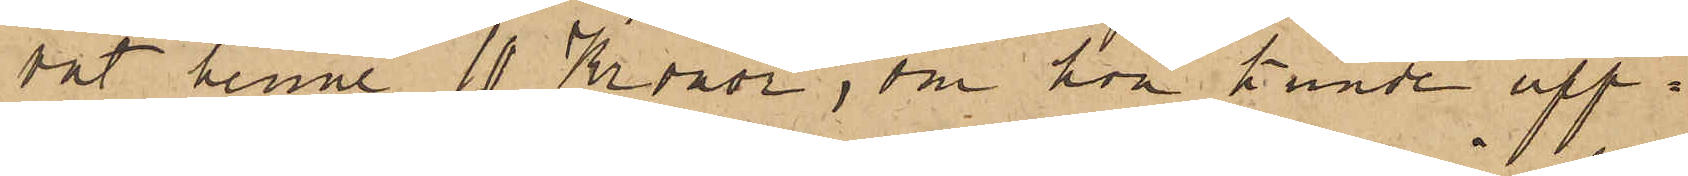vat henne 10 Kronor, om hon kunde upp¬
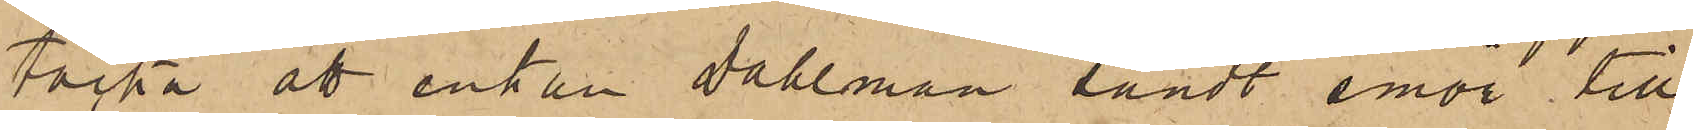täcka att enkan Dahlman sändt smör till
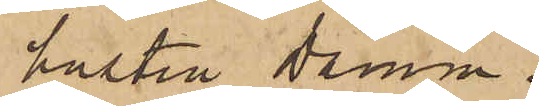hustru Damm.
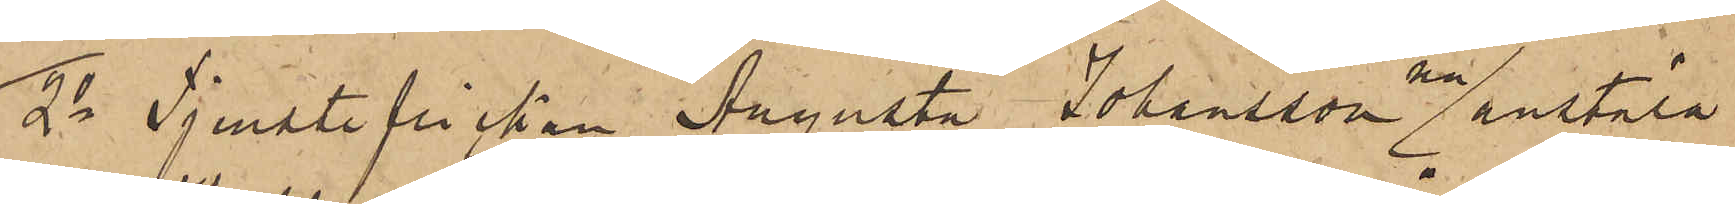2o Tjensteflickan Augusta Johansson nu anstäld
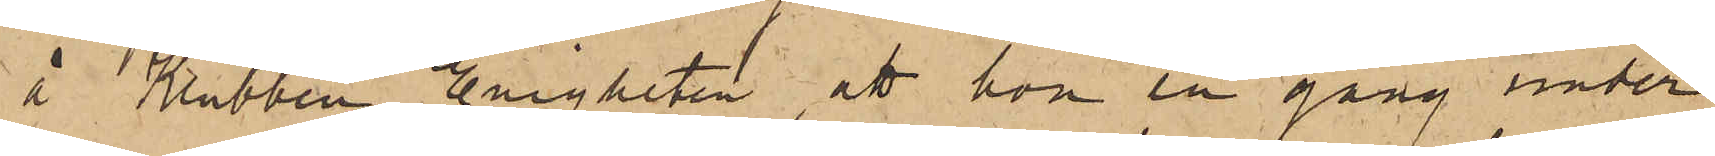å Klubben Enigheten, att hon en gång under
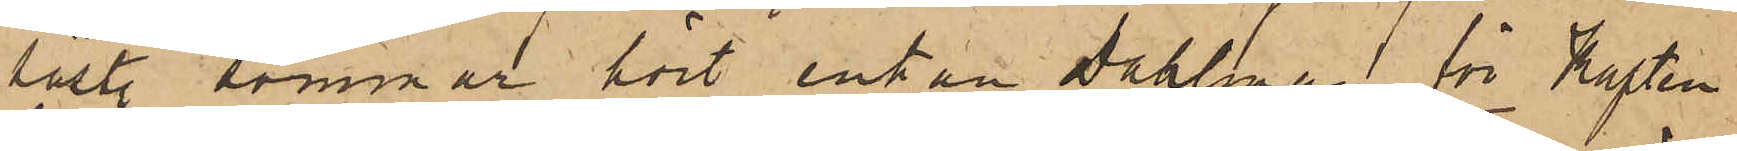sistl. sommar hört enkan Dahlman för Kapten
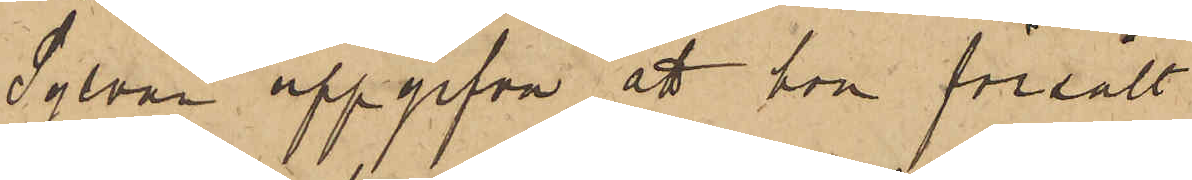Sylvan uppgifva att hon försålt
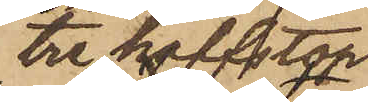tre halfstop
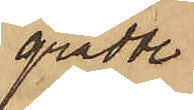grädde
